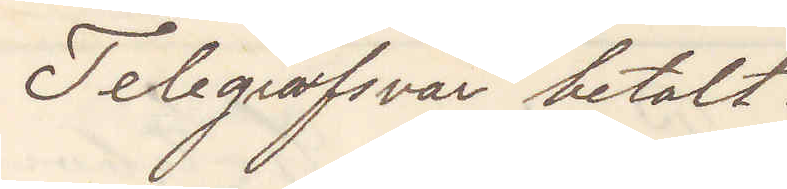Telegrafsvar betalt.
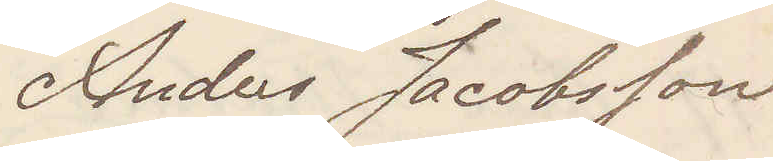Anders Jacobsson
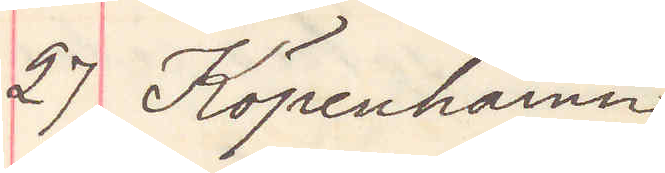27 Köpenhamn
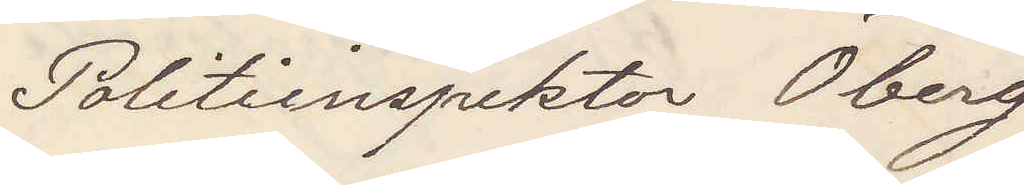Politiinspektor Öberg
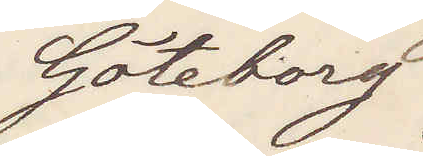Göteborg
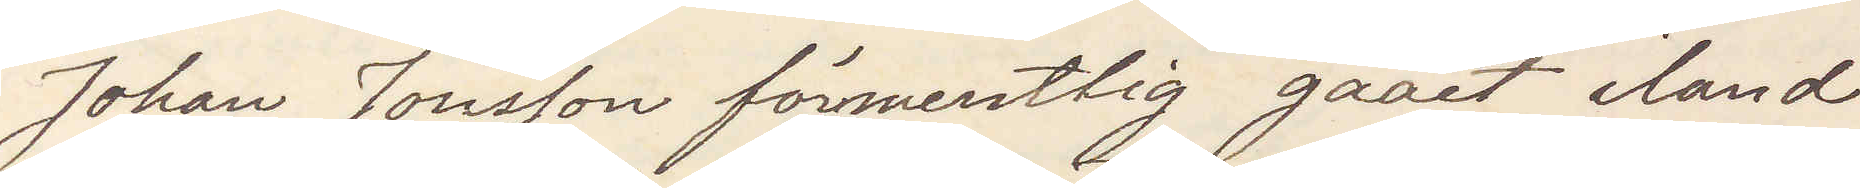Johan Jönsson förmentlig gaaet iland
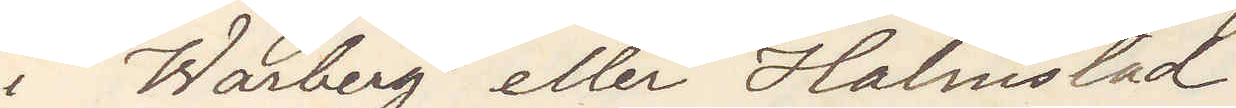i Warberg eller Halmstad.
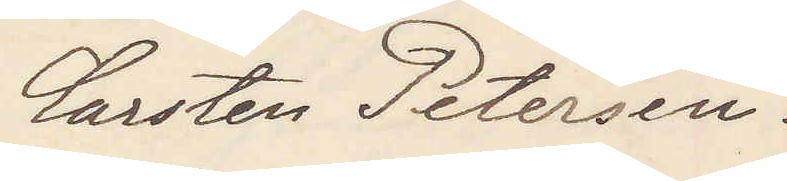Carsten Petersen.
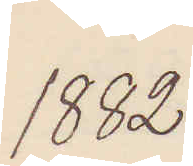1882
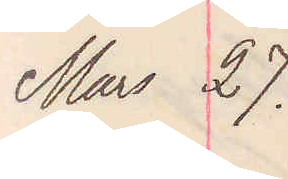Mars 27.
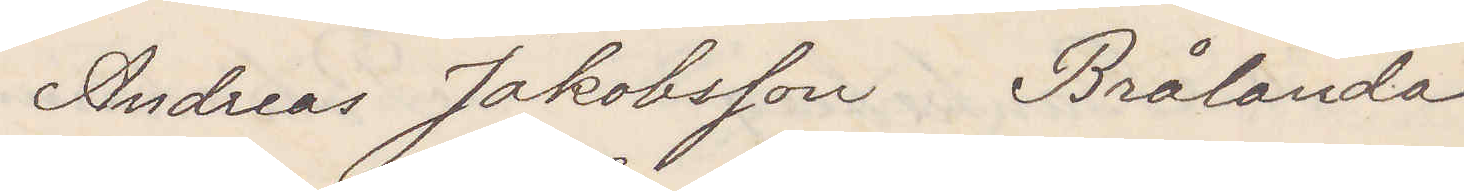Andreas Jakobsson Brålanda
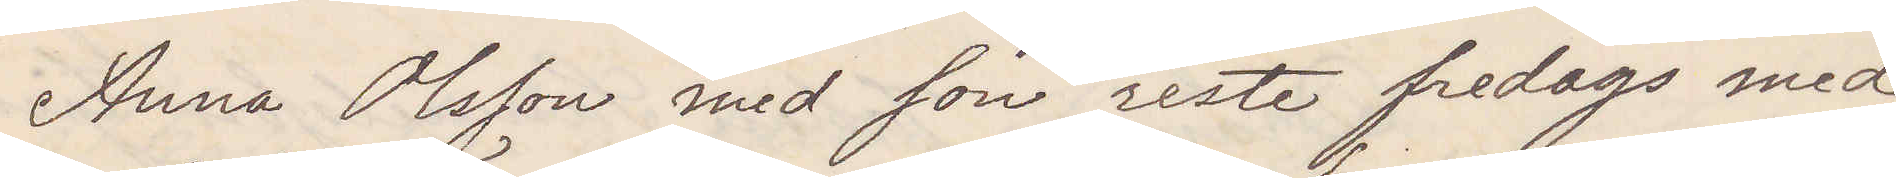Anna Olsson med son reste fredags med
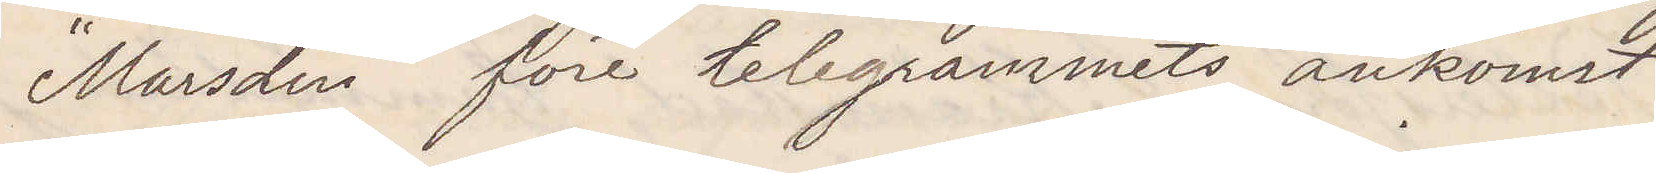"Marsdin" före telegrammets ankomst
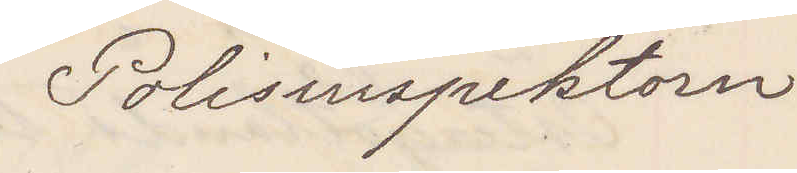Polisinspektorn
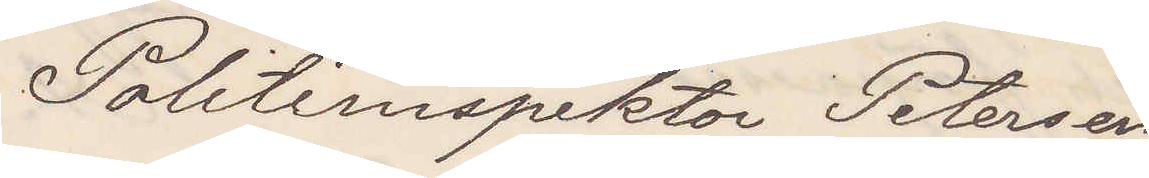Politiinspektor Petersen
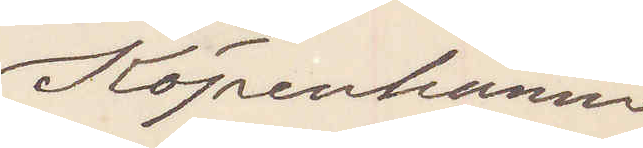Köpenhamn
